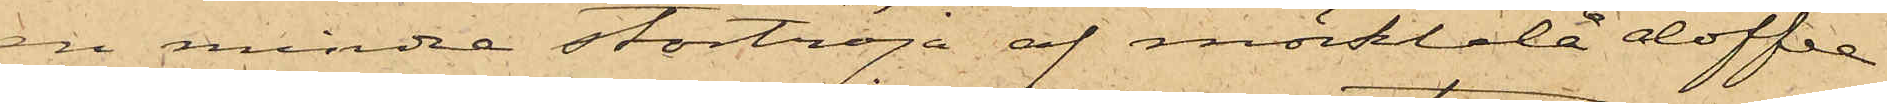en mindre stortröja af mörkblå doffel
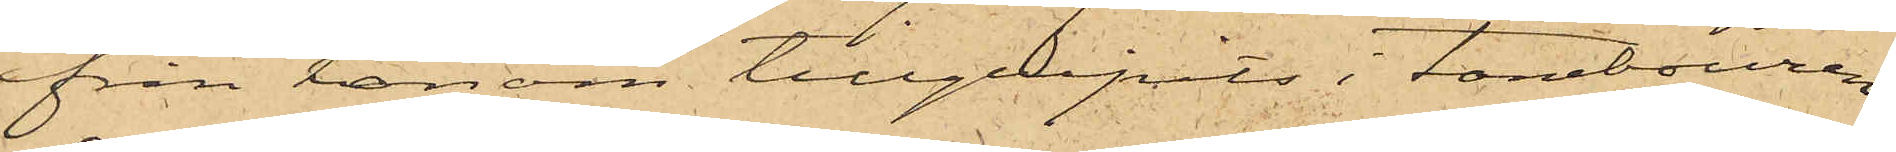ifrån honom tillgripits i tambouren
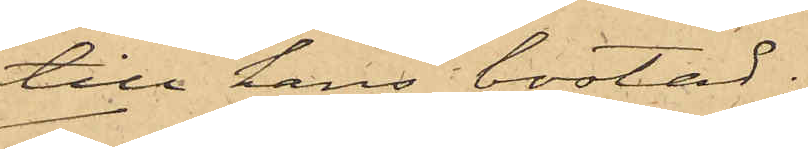till hans bostad;
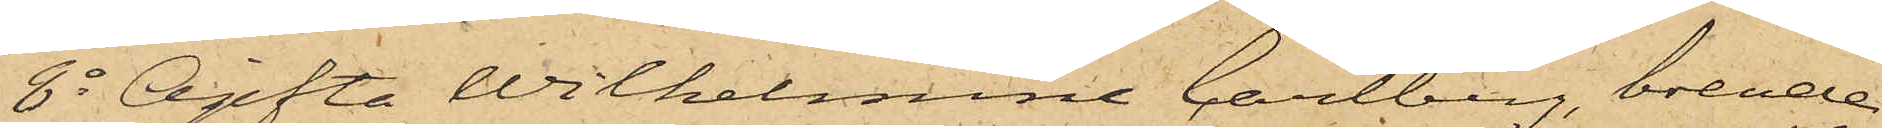8o Ogifta Wilhelmina Carlberg, boende
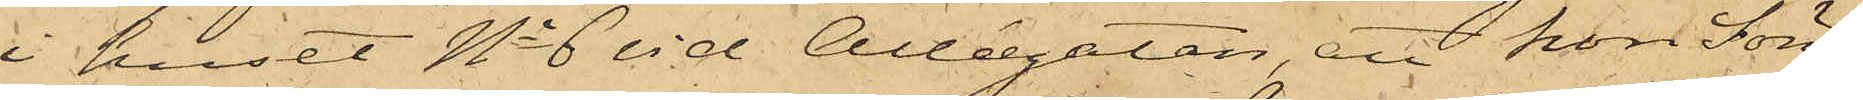i huset No 6 vid Allégatan, att hon Sön¬
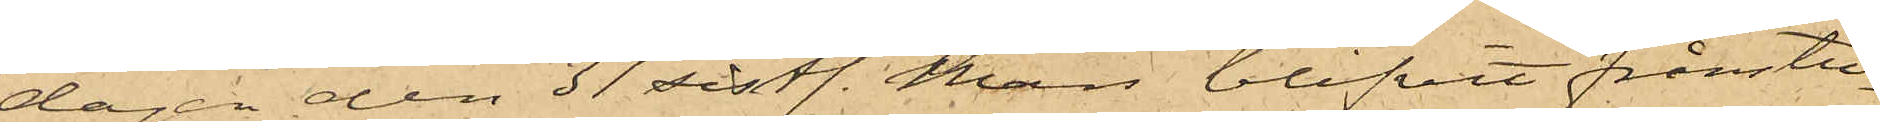dagen den 31 sistl. Mars blifvit frånstu¬
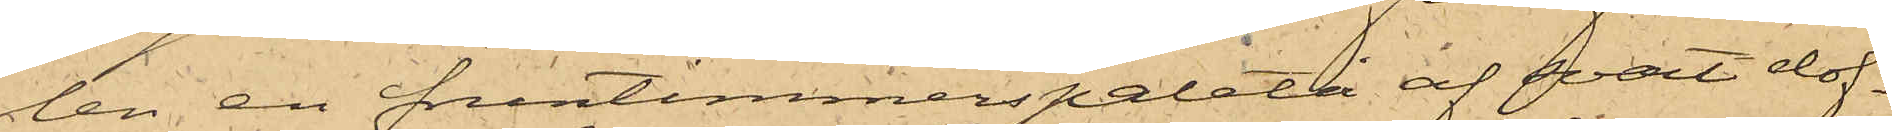len en fruntimmerspaletå af svart dof¬
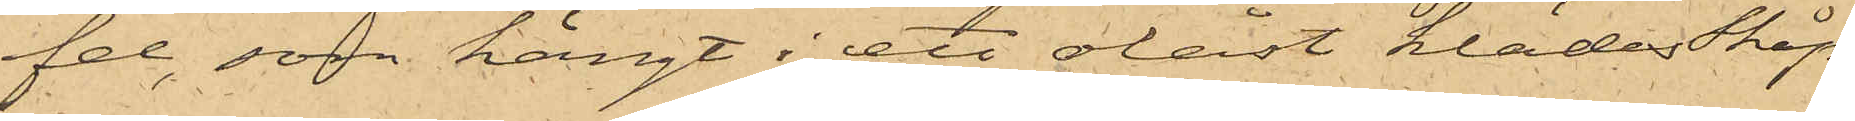fel, som hängt i ett olåst klädesSkåp
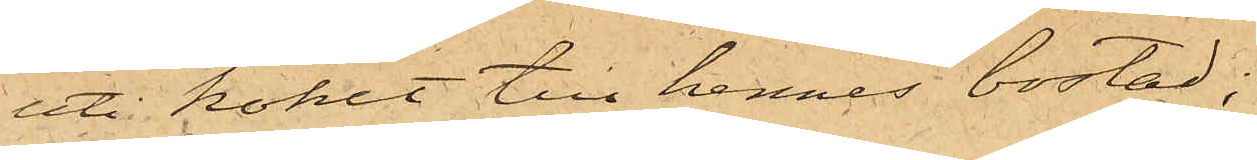uti köket till hennes bostad;
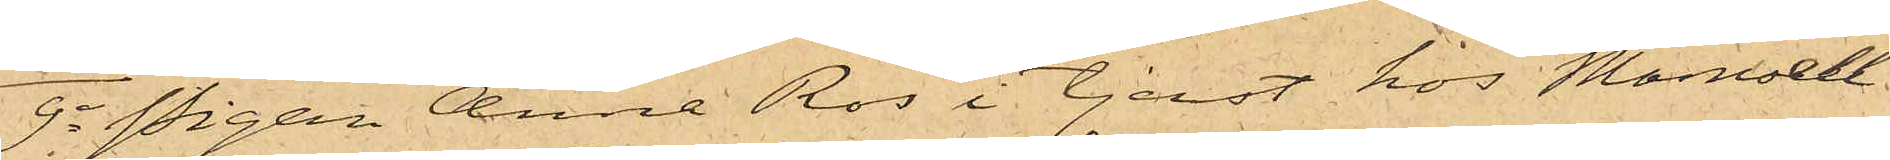9o Pigan Anna Ros i tjenst hos Mamsell
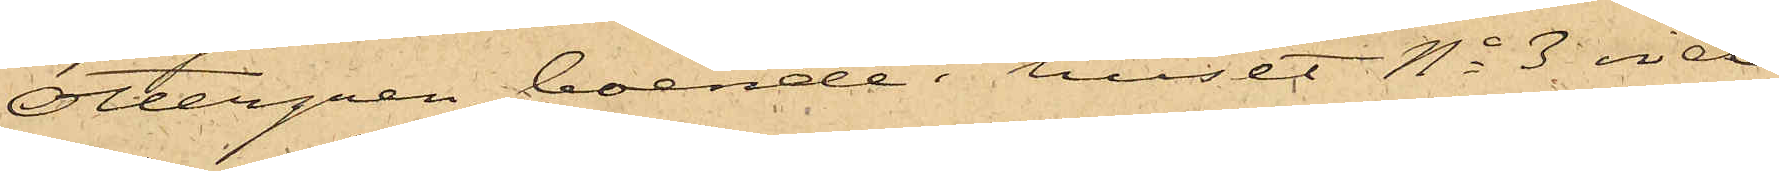Ottergren, boende i huset No 3 vid
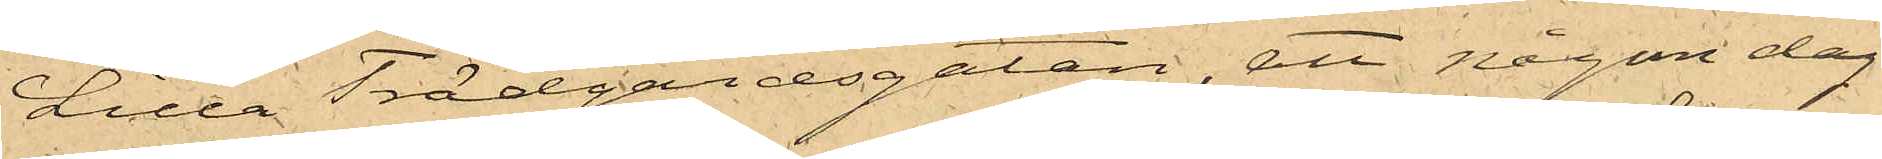Lilla Trädgårdsgatan, att någon dag
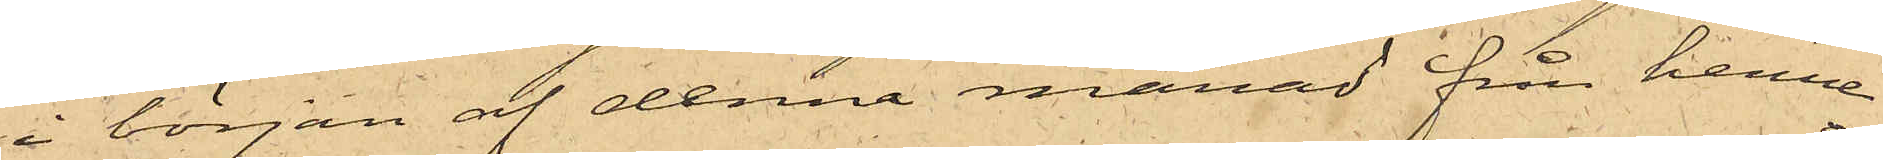i början af denna månad från henne
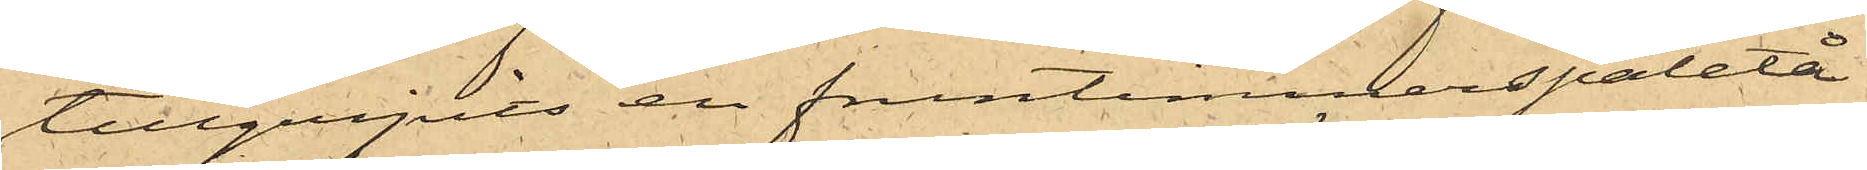tillgripits en fruntimmerspaletå
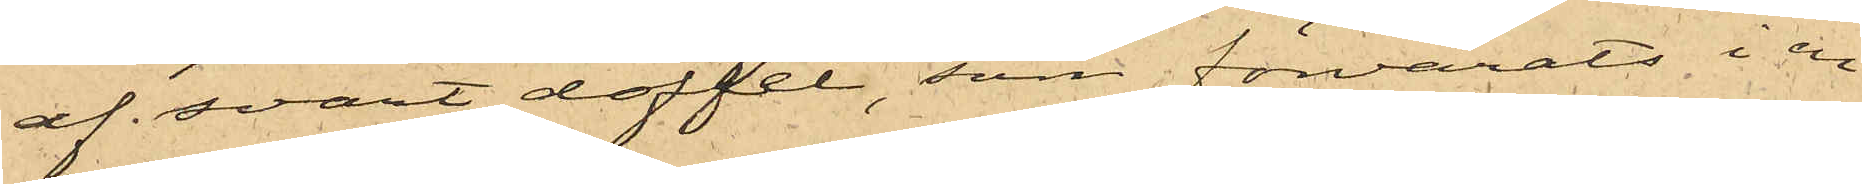af svart doffel, som förvarats i en
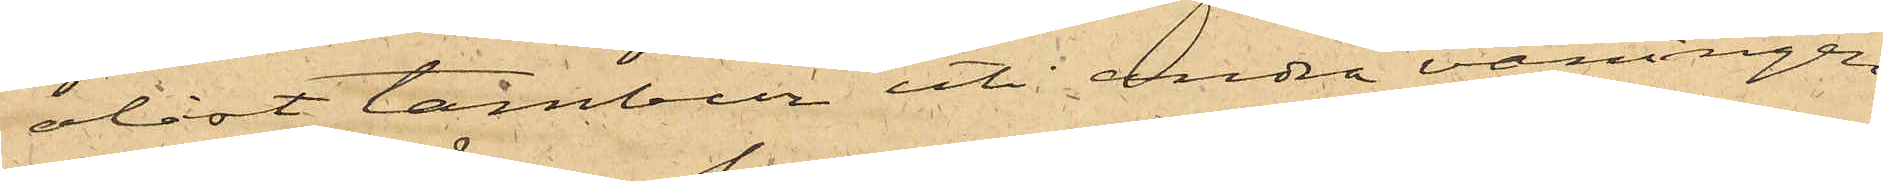olåst tambur uti andra våningen
